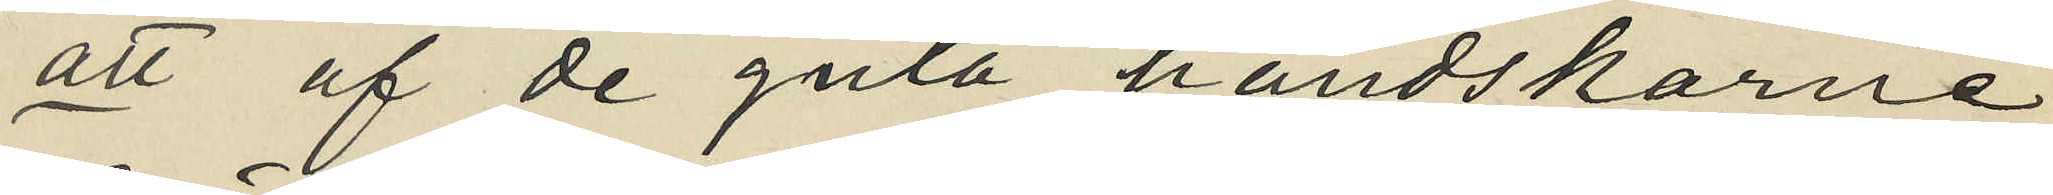att af de gula handskarne
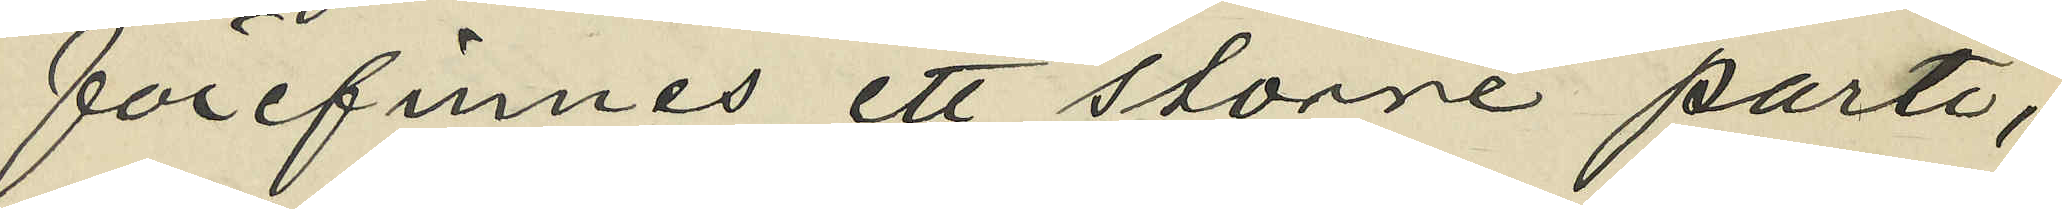förefinnes ett större parti,
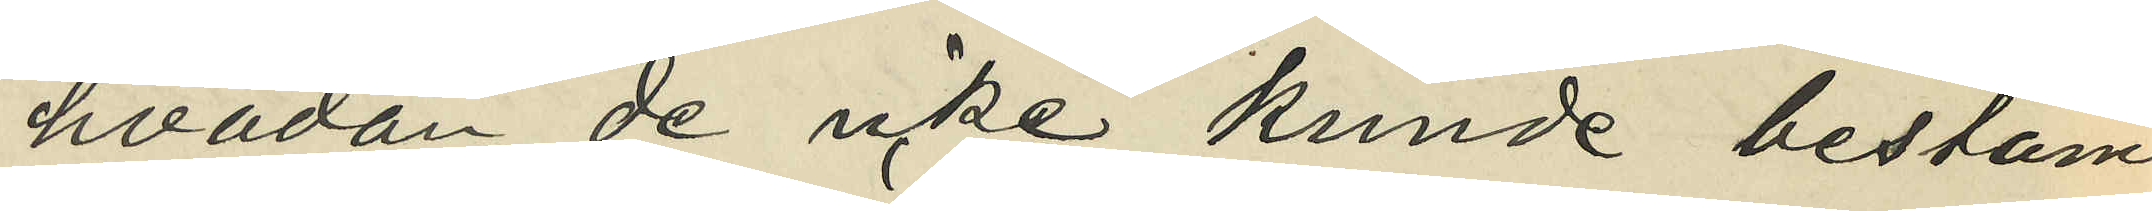hvadan de icke kunde bestäm¬
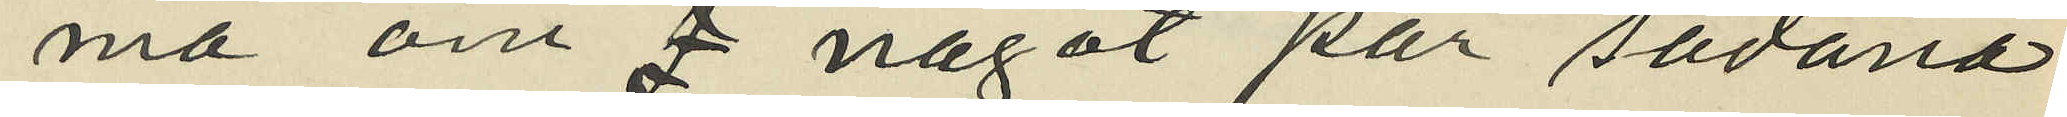ma om något par sådana
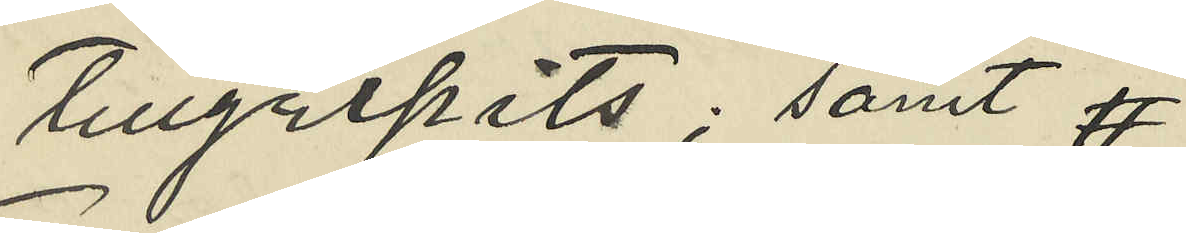tillgripits; samt 
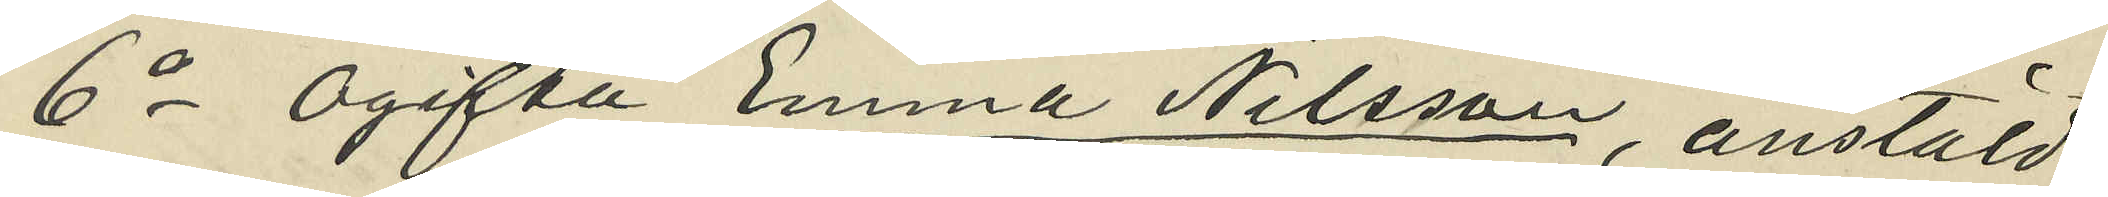6o Ogifta Emma Nilsson, anstäld
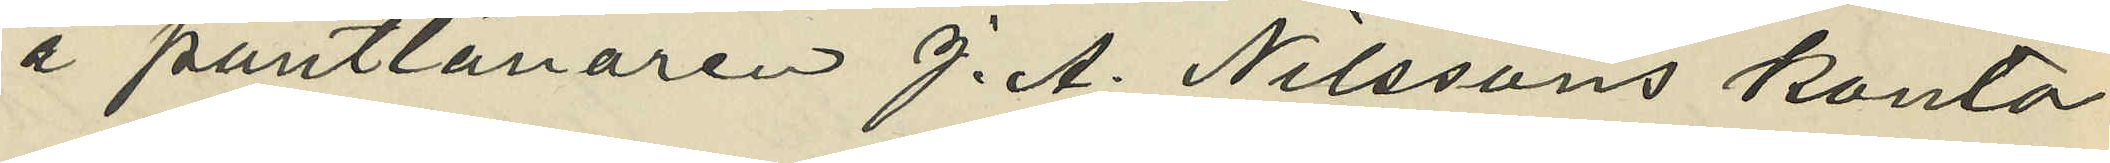å pantlånaren J. A. Nilssons kontor
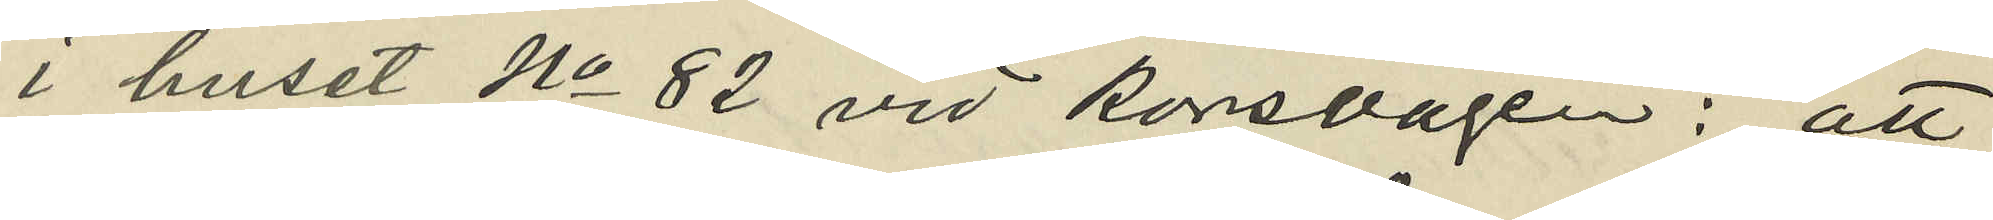i huset No 82 vid Korsvägen: att
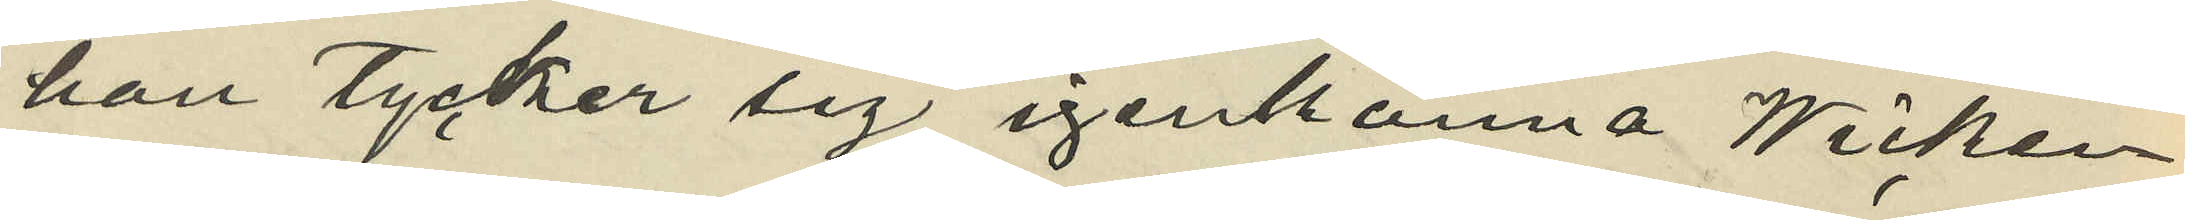han tycker sig igenkänna Wicken¬
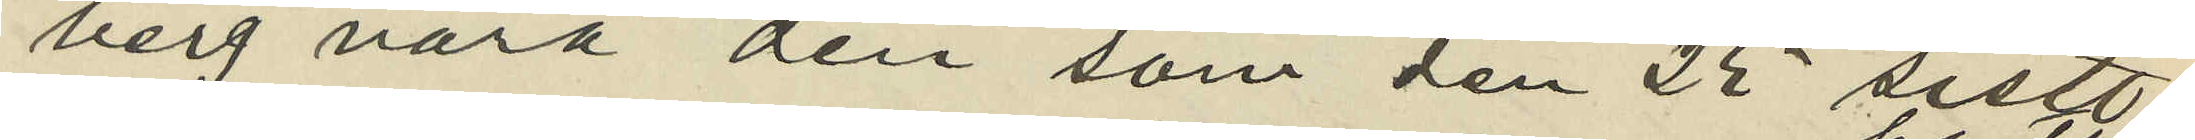berg vara den som den 25 sistl
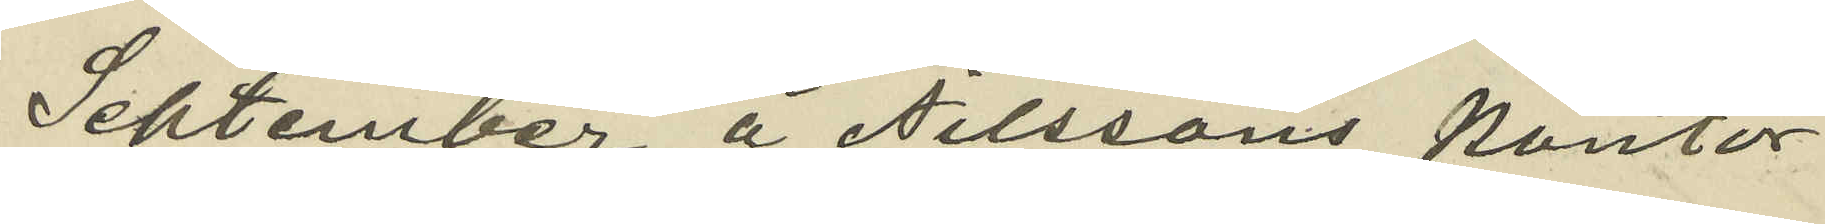September å Nilssons kontor
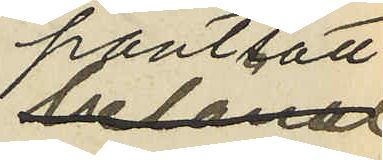pantsatt
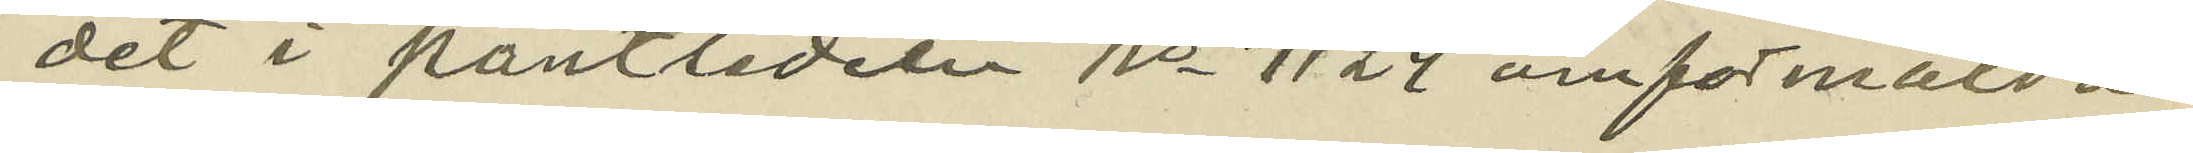det i pantsedeln No 7124 omförmälda
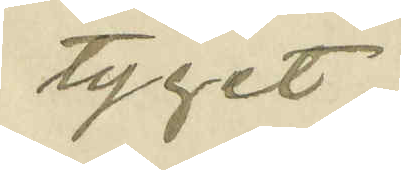tyget;
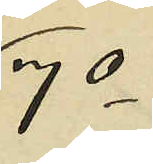7o
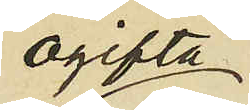ogifta
